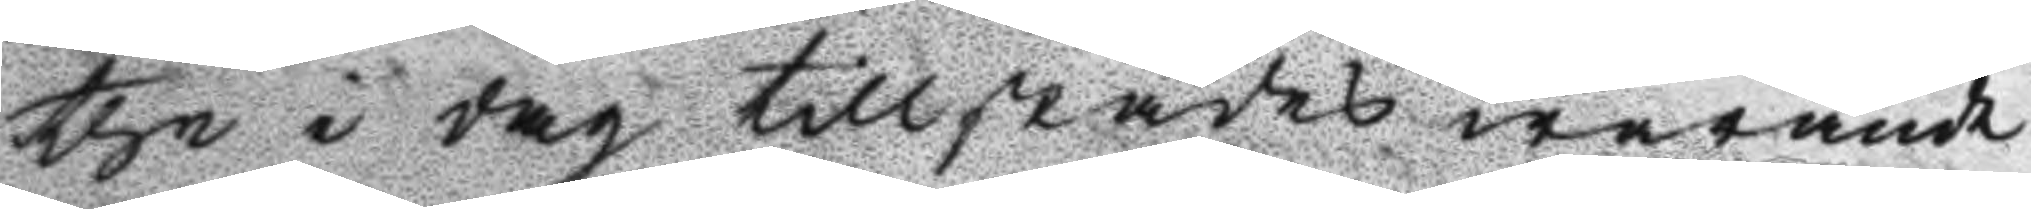the i dag tillstädes warande
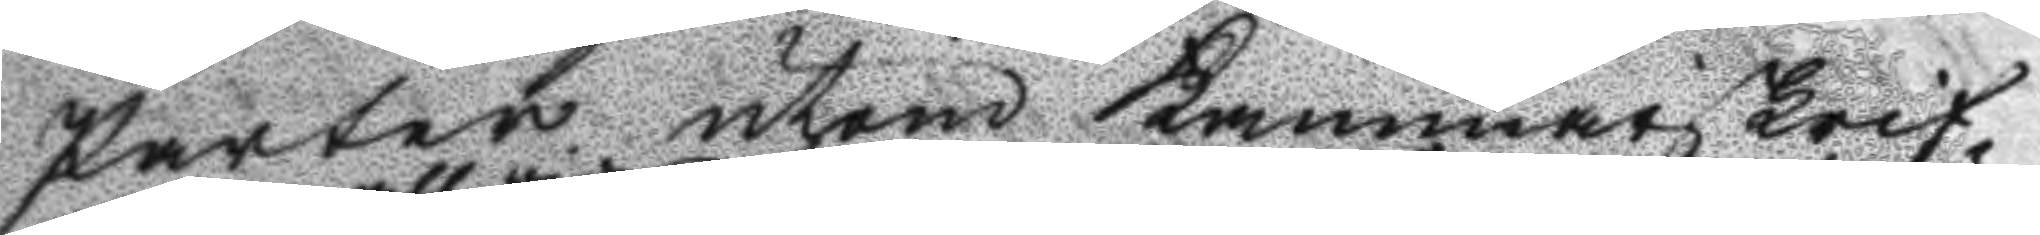Parter utom Kammarskrif
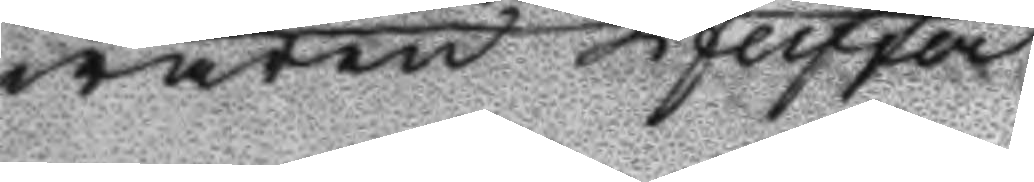waren Pfieffer
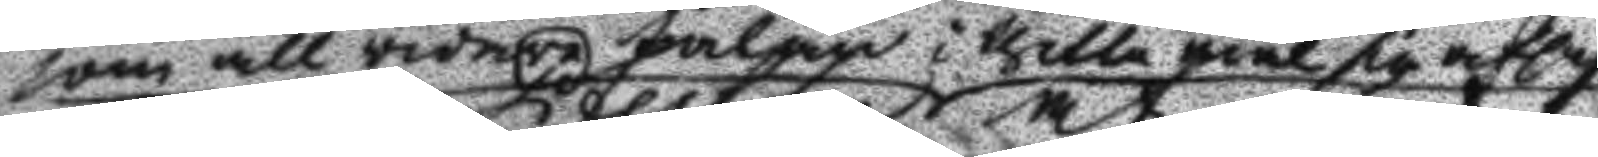som all vidare talan i thetta mål sig afsagt
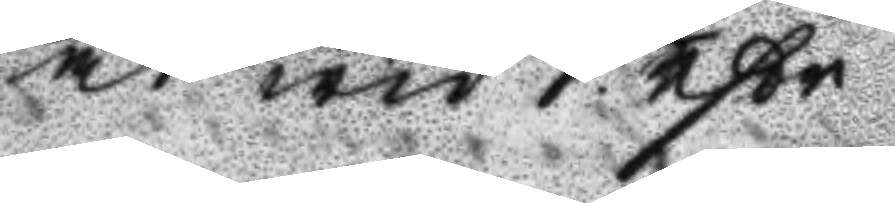at wid 1. rßr
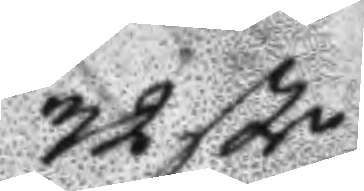32 ßr
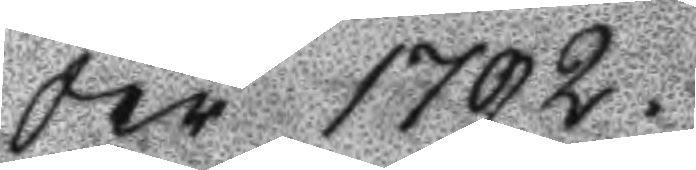År 1792
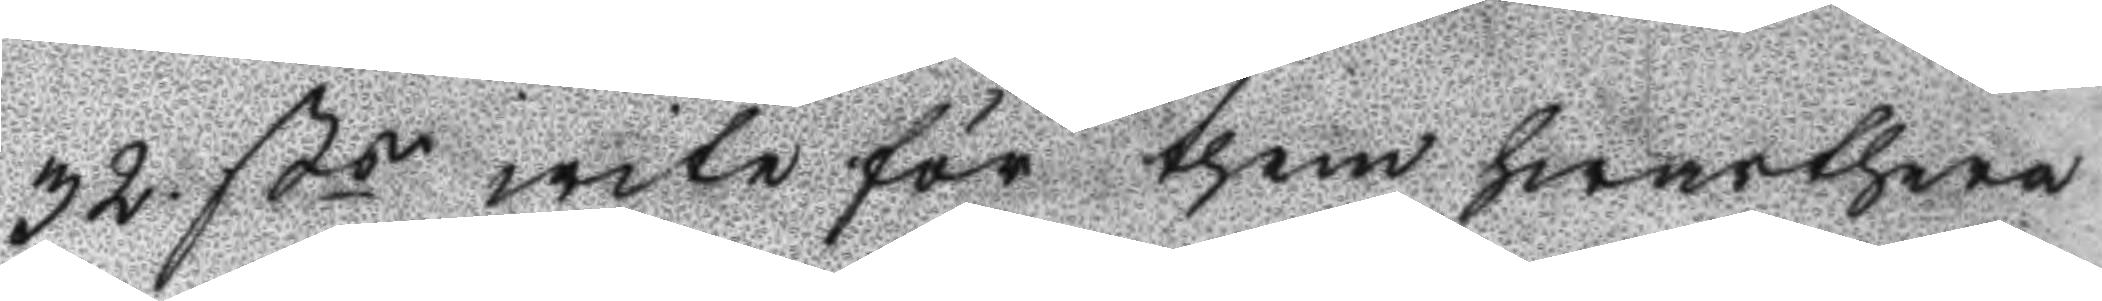32 ßs wite för them hwarthera
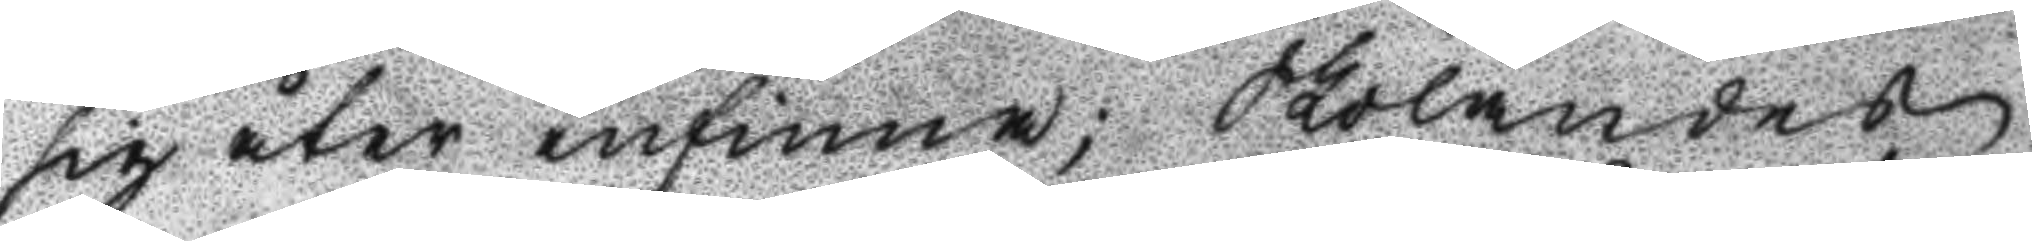sig åter infinna; Skolandes
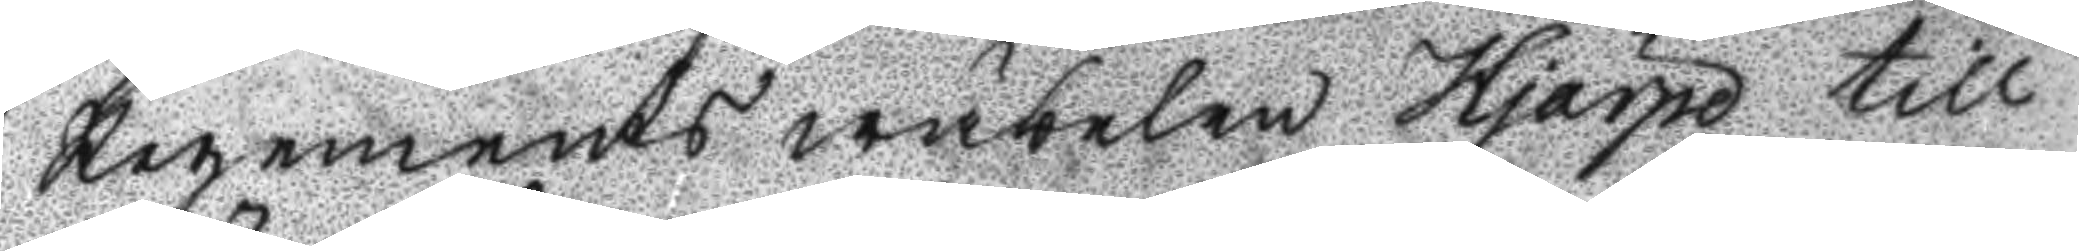Regements wäbelen Hjärpe till
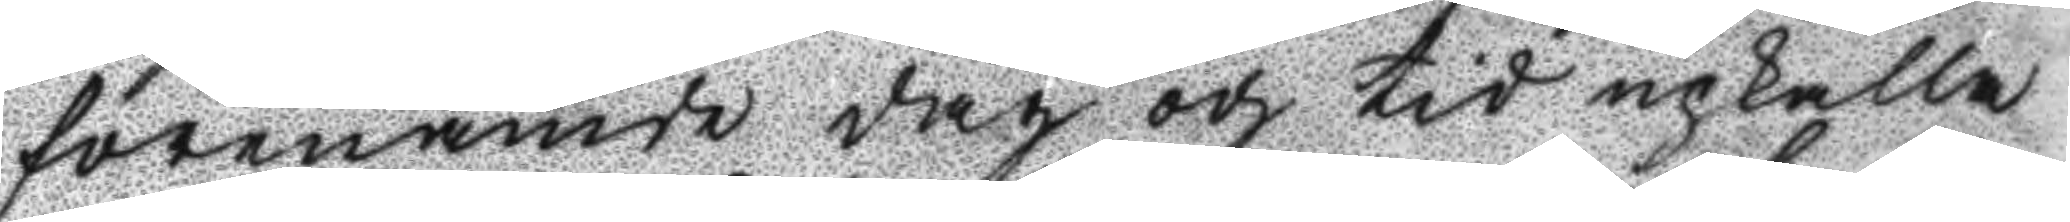förenämde dag och tid upkalla
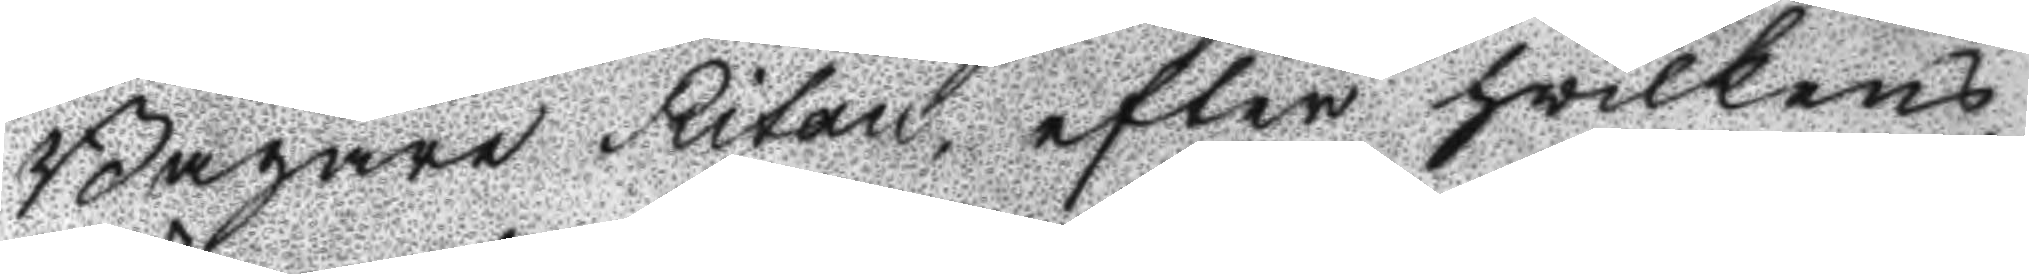Bagare Ritan, efter hwilkens
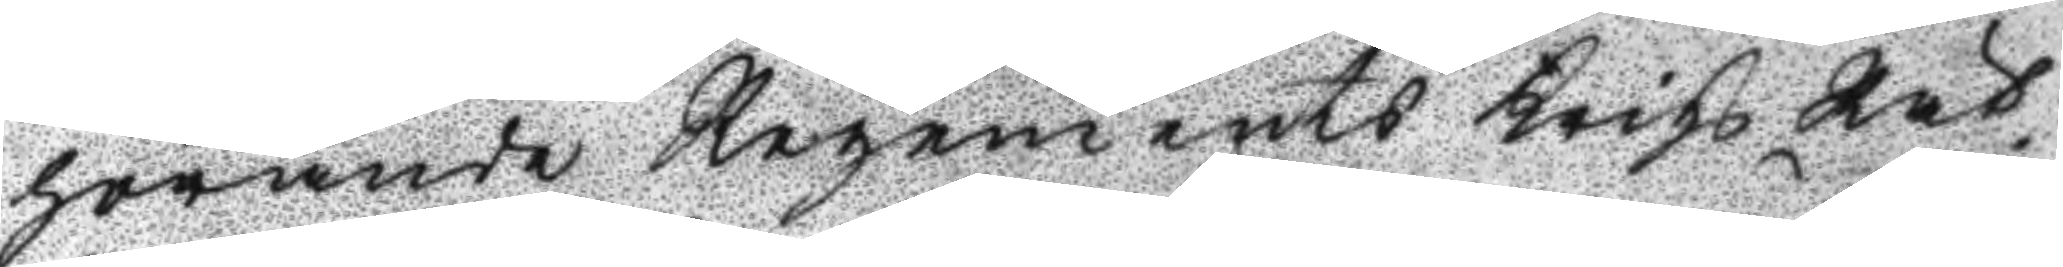hörande Regements Krigs Rät¬
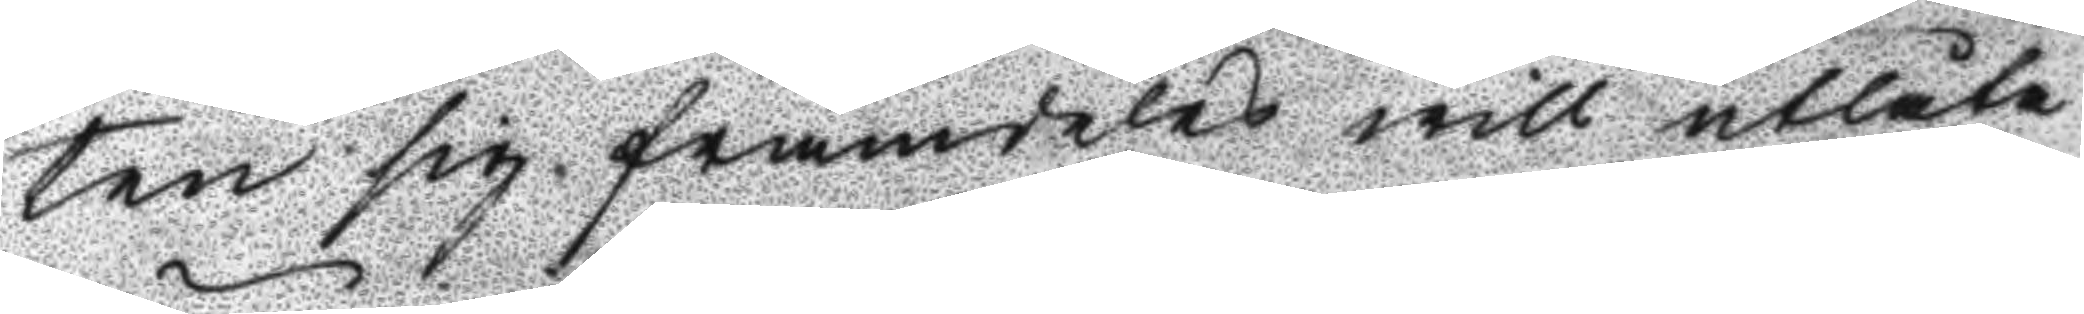ten sig framdeles will utlåta
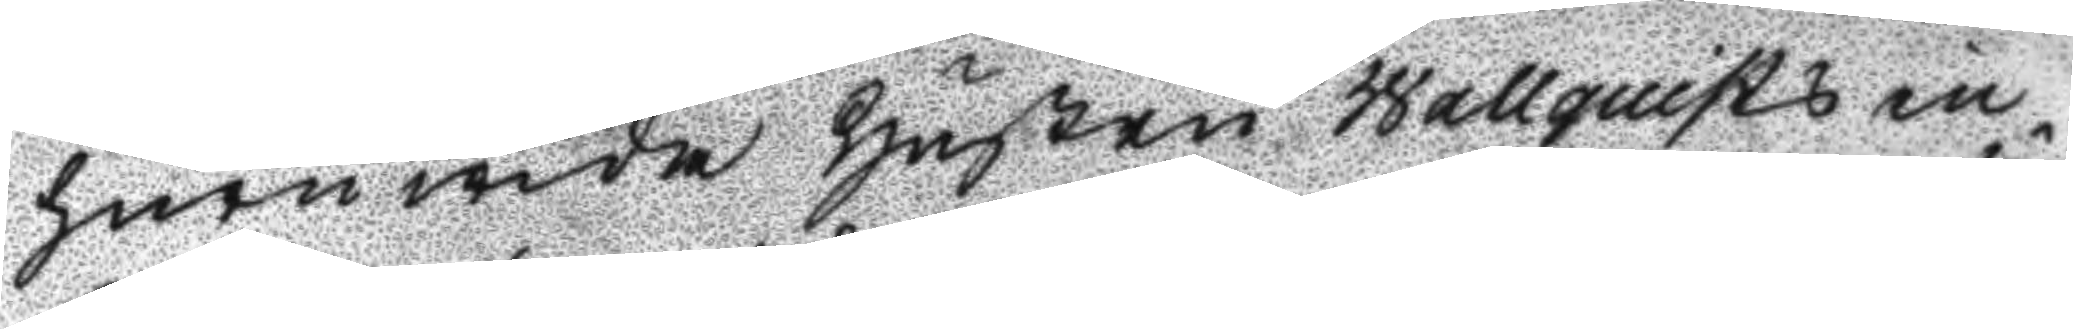huru wida hustru Wallquist in¬
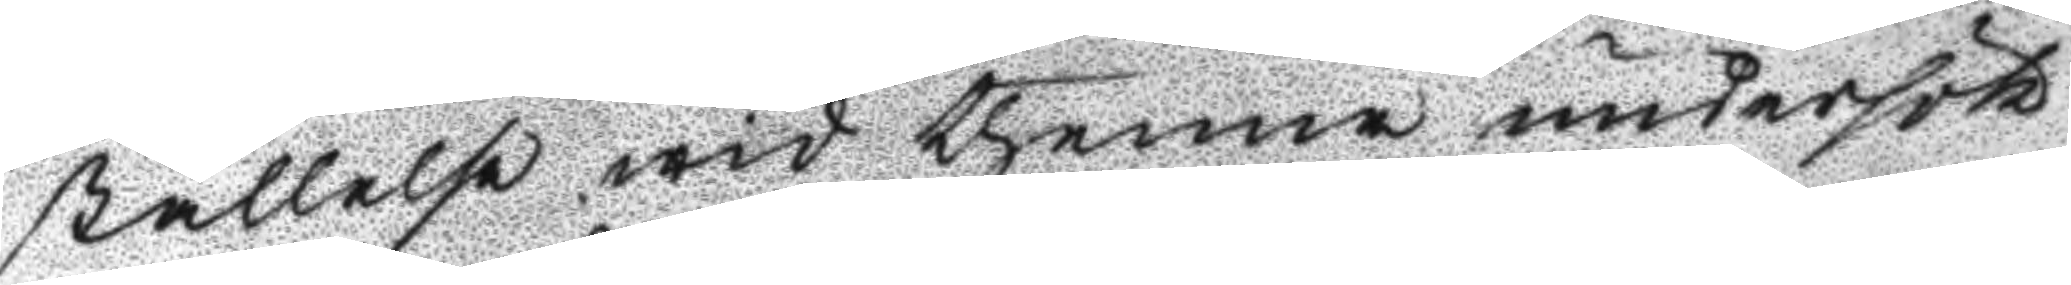ställelse wid thenna undersök¬
